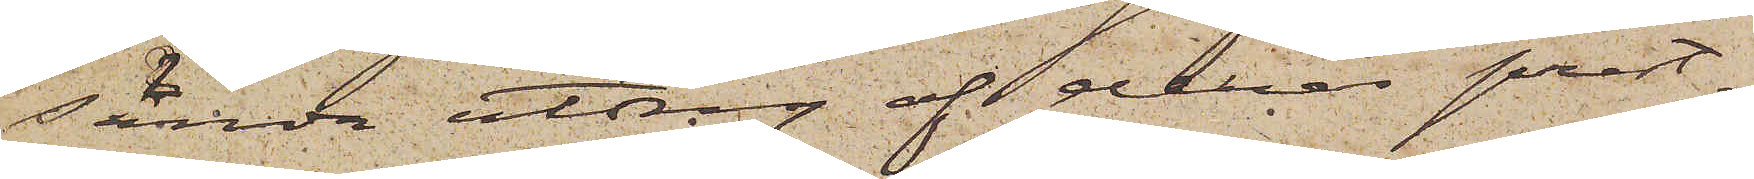sända utdrag af deras prest¬
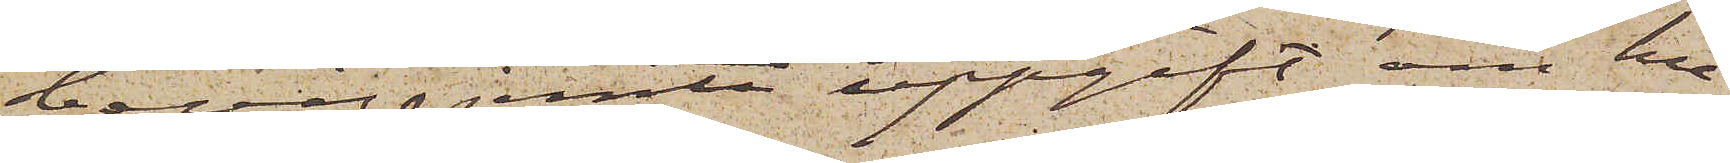betyg jemte uppgift om hu¬
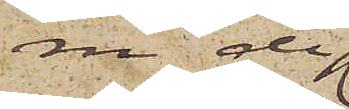ru de
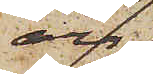äro
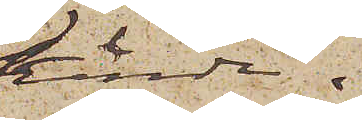kända.
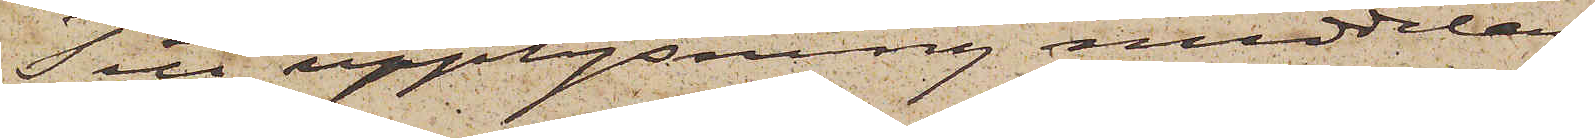Till upplysning meddelas
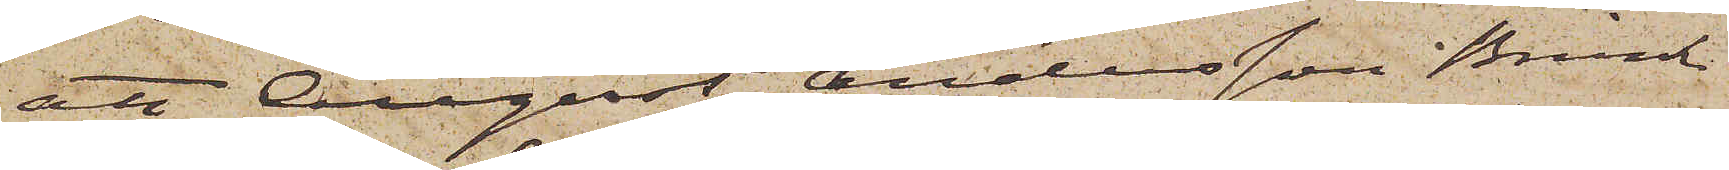att August Andersson Brink
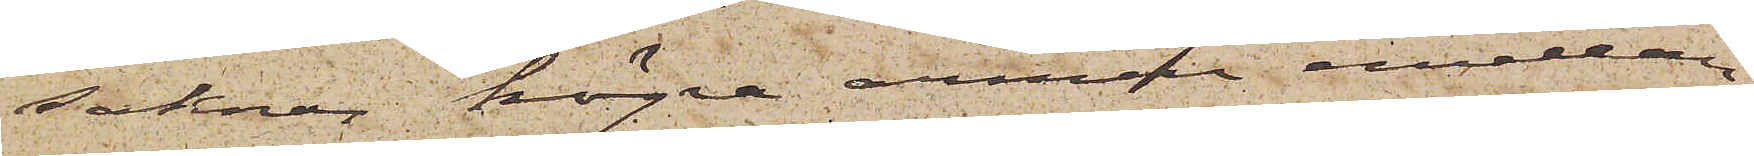saknar högra armen mellan
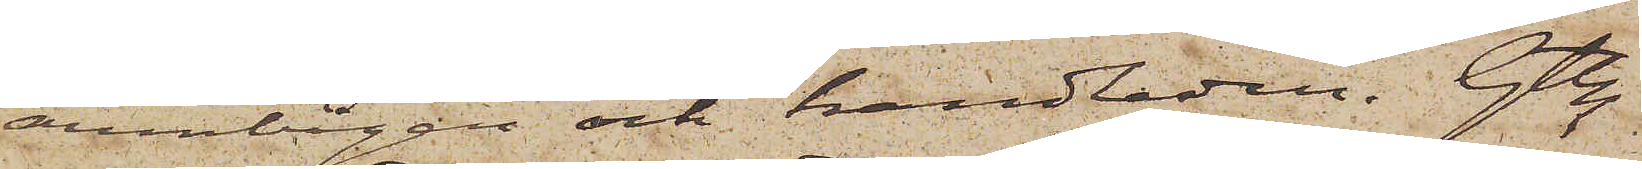armbågen och handleden. Gtbg
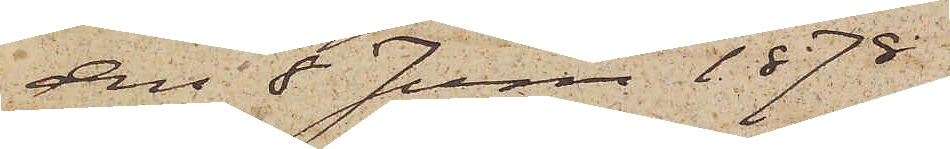den 8 Juni 1878.
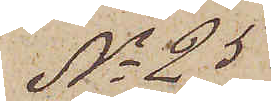No 25
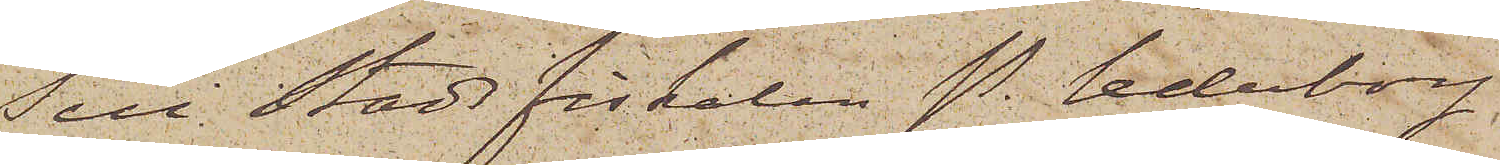Till Stadsfiskalen P. Cederborg,
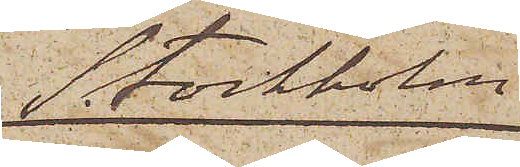Stockholm
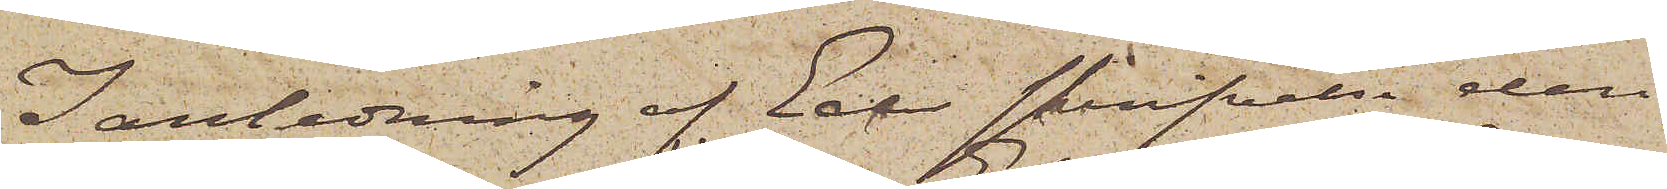I anledning af Eder skrifvelse den
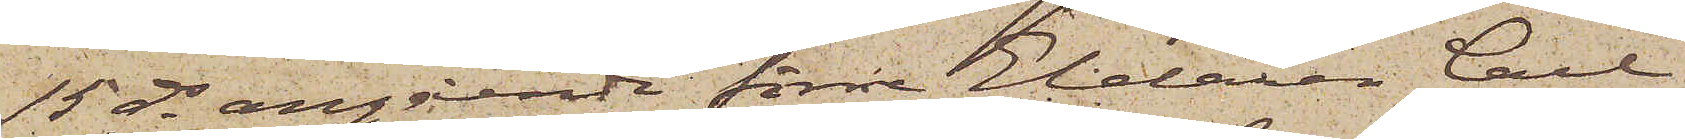15 ds angående förre Eldaren Carl
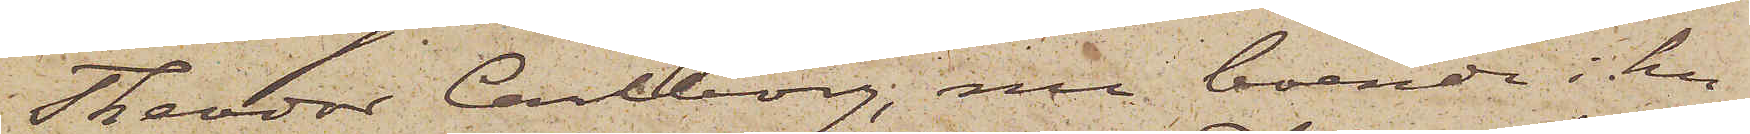Teodor Carlborg, nu boende i hu¬
